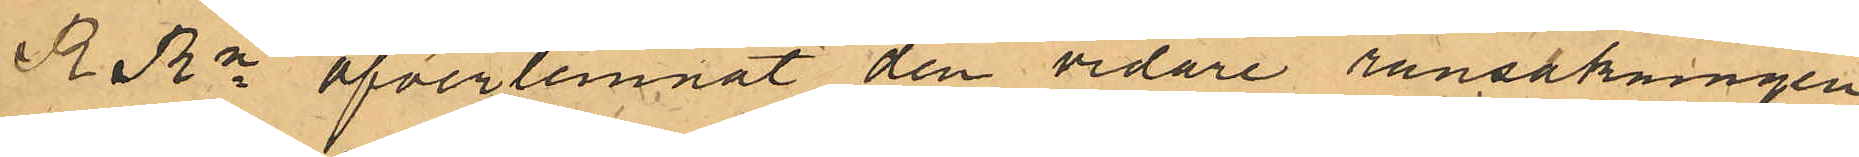RRn öfverlemnat den vidare ransakningen
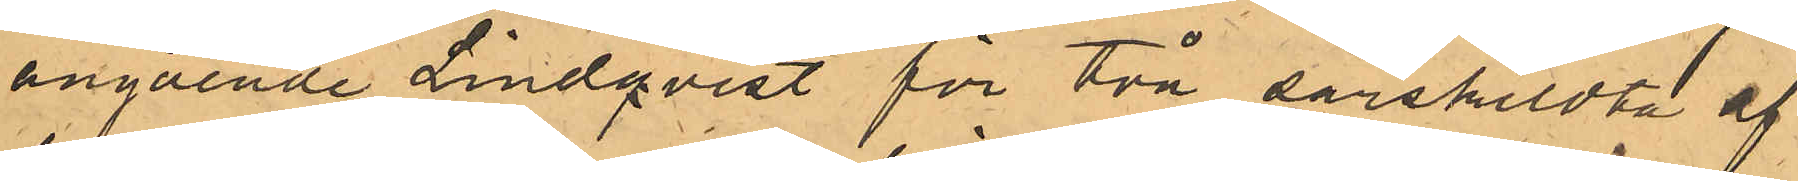angående Lindqvist för två särskildta af
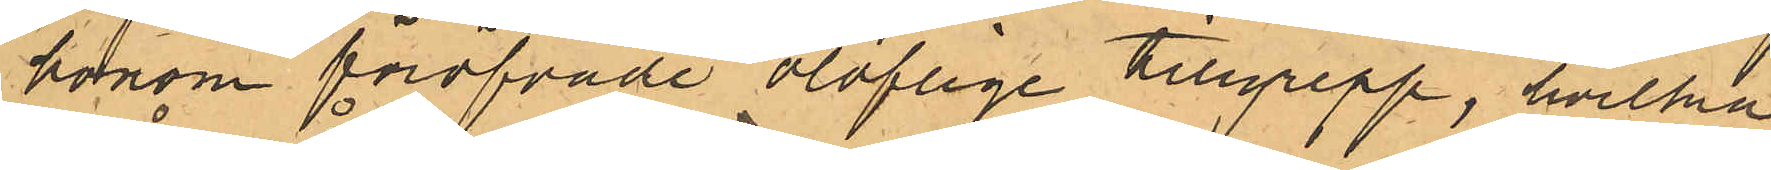honom föröfvade oloflige tillgrepp, hvilka
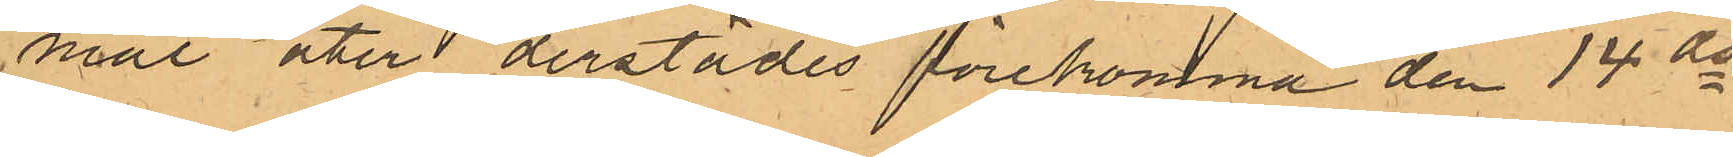mål åter derstädes förekomma den 14 ds
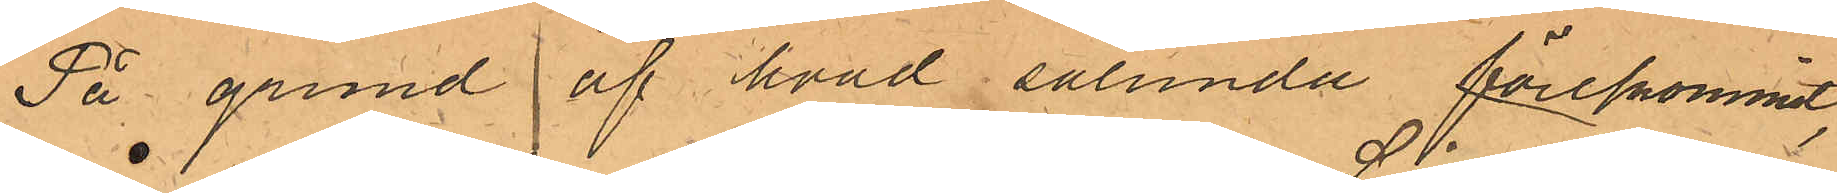På grund af hvad sålunda förekommit,
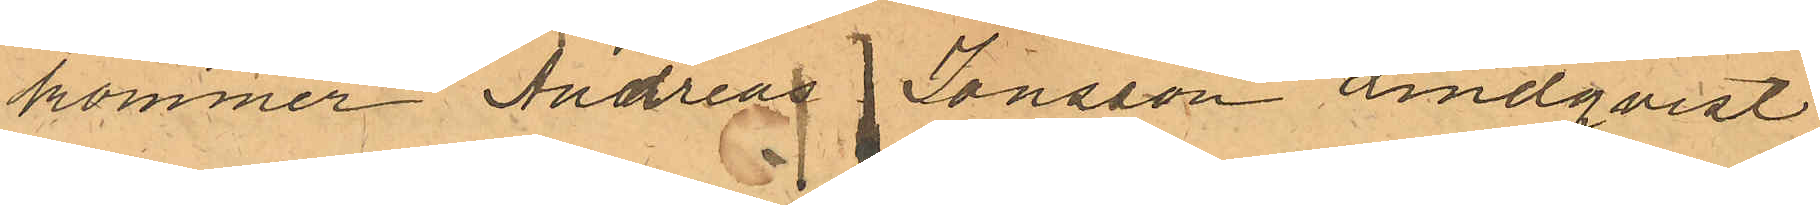kommer Andreas Jonsson Lindqvist,
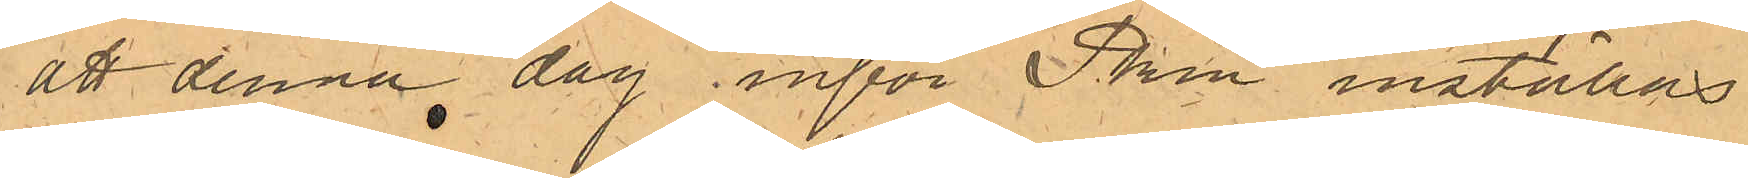att denna dag inför Pkn inställas
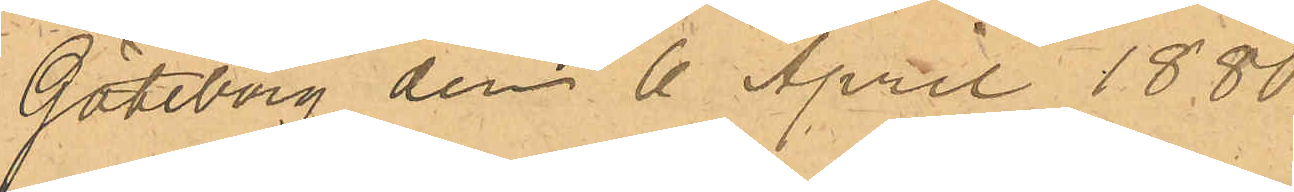Göteborg den 6 April 1880
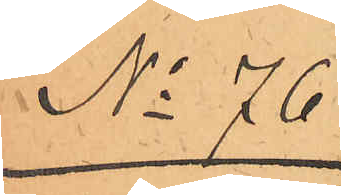No 76.
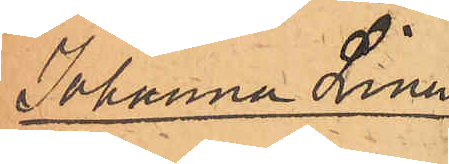Johanna Lina
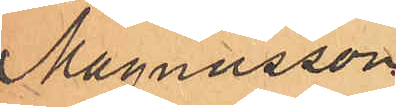Magnusson
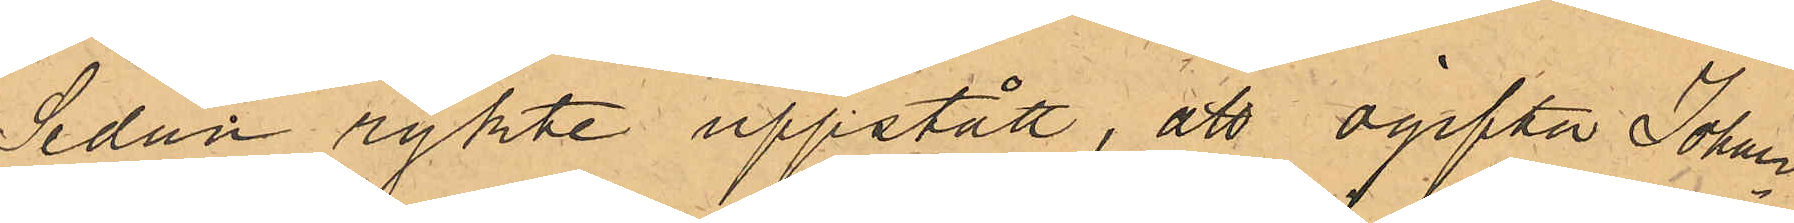Sedan rykte uppstått, att ogifta Johan¬
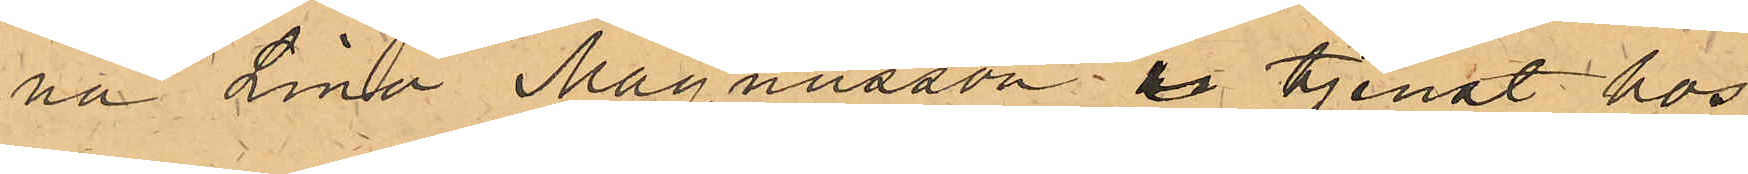na Lina Magnusson i tjenst hos
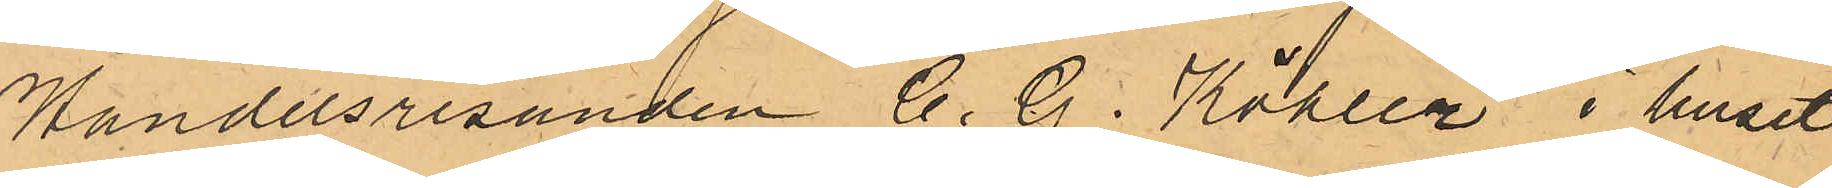Handelsresanden C. G. Köhler i huset
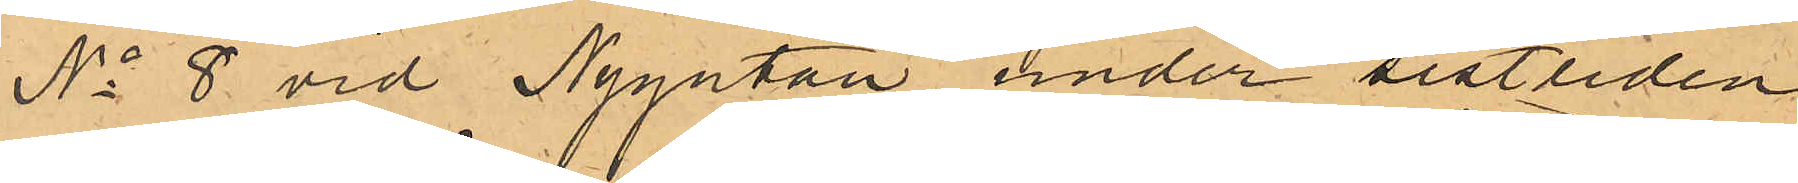No 8 vid Nygatan under sistliden
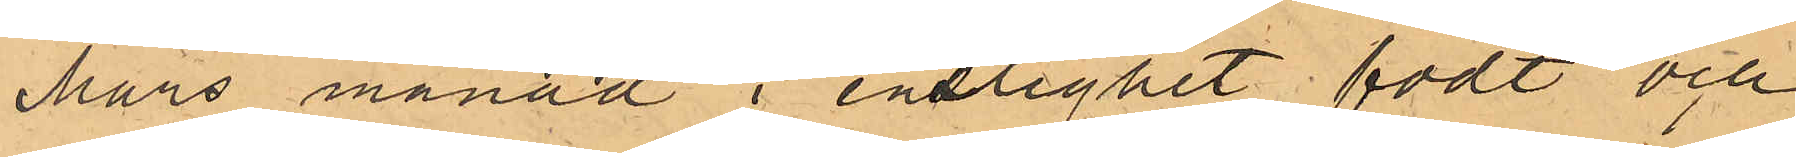Mars månad i enslighet födt och
